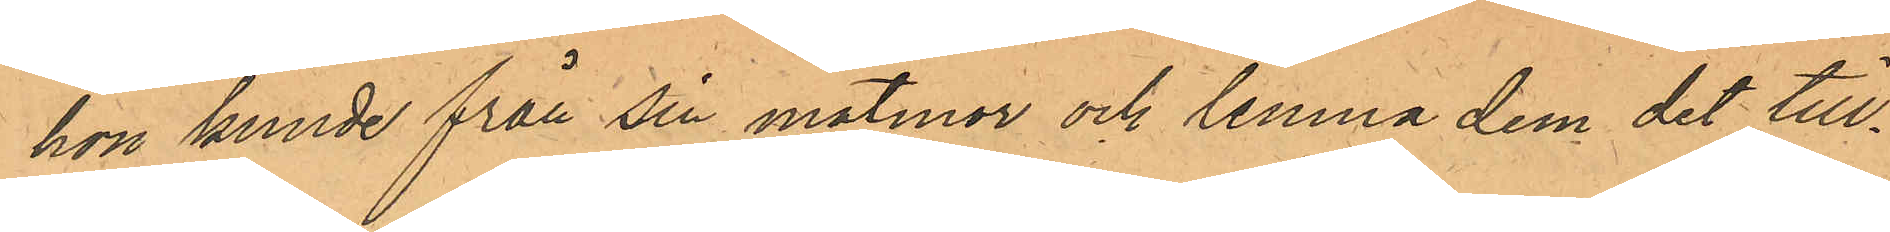hon kunde från sin matmor och lemna dem det till¬
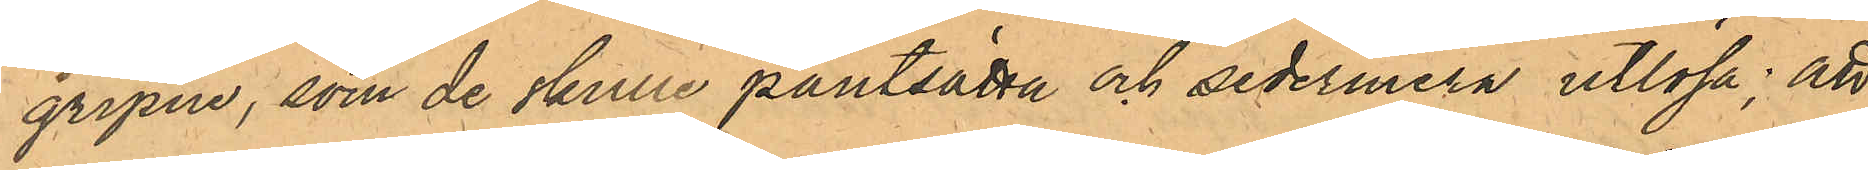gripne, som de skule pantsätta och sedermera utlösa; att
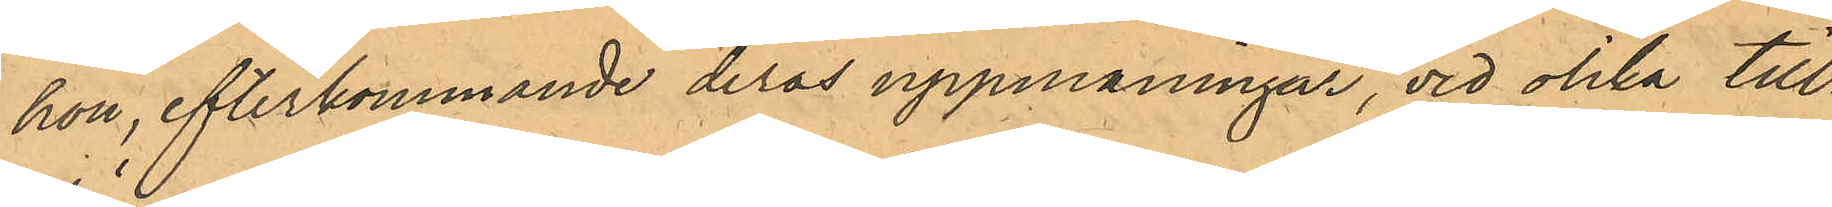hon, efterkommande deras uppmaningar, vid olika till¬
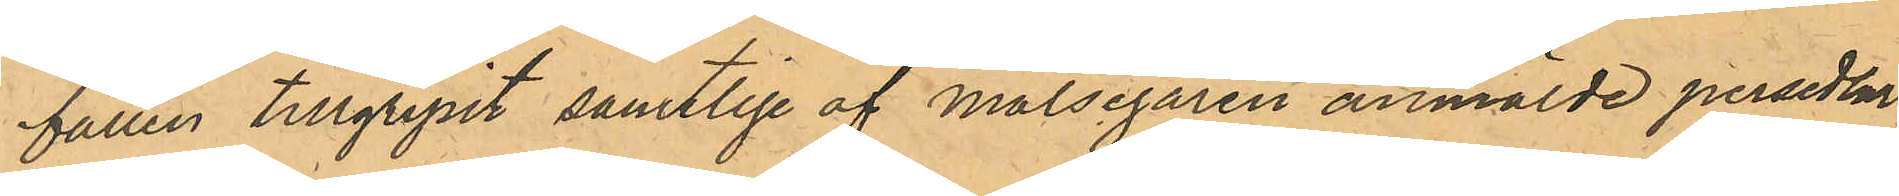fällen tillgripit samtlige af Målsegaren anmälde persedlar,
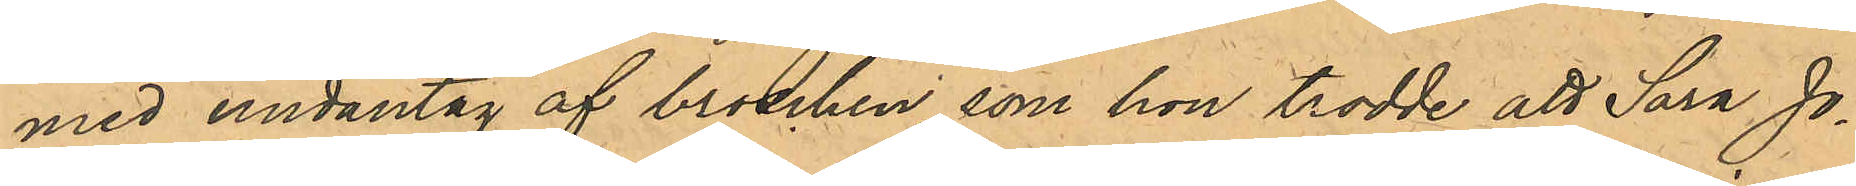med undantag av broschen, som hon trodde att Sara Jo¬
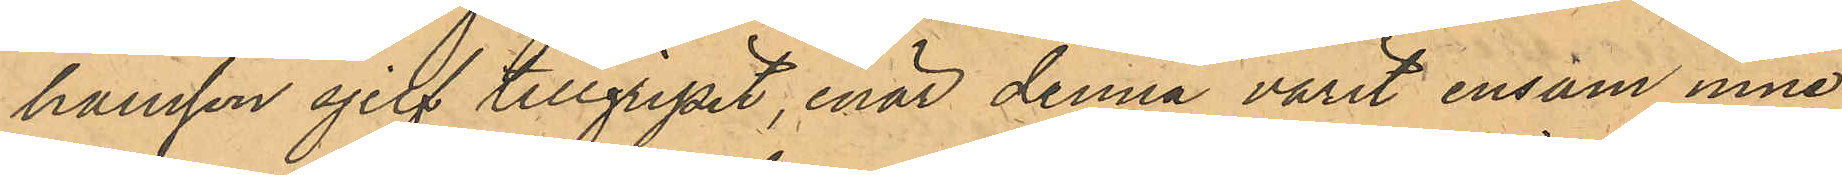hansson sjelf tillgripit, enär denna varit ensam inne
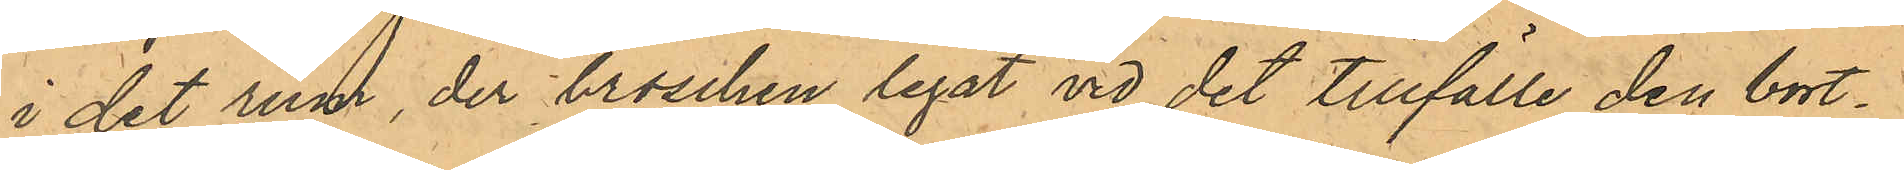i det rum, der broschen legat vid det tillfälle den bort¬
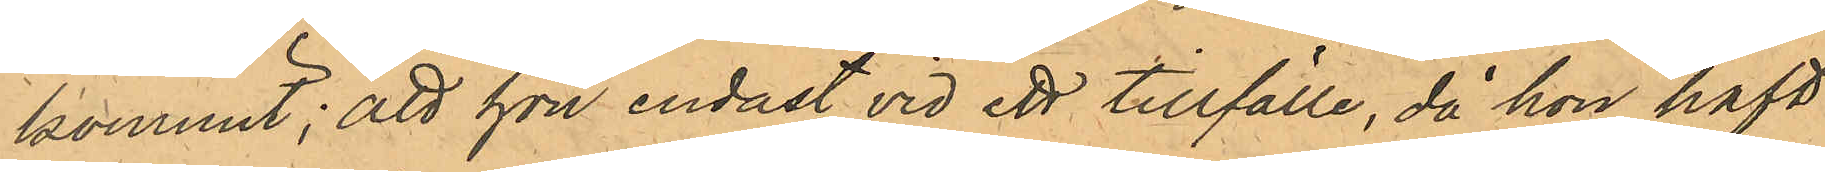kommit; att hon endast vid ett tillfälle, då hon haft
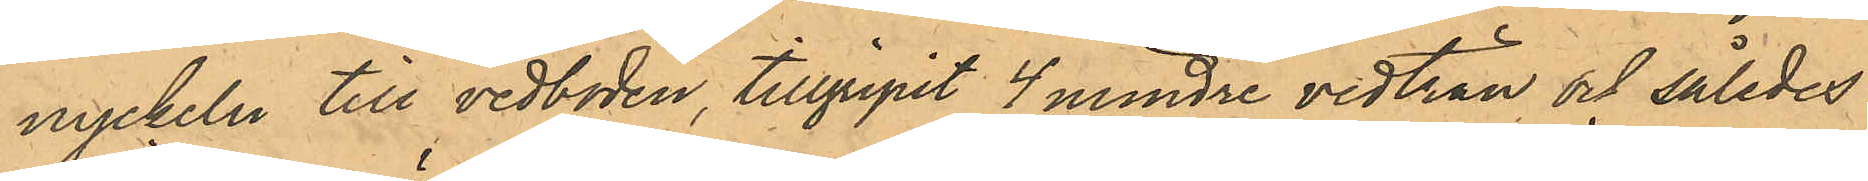nyckeln till vedboden, tillgripit 4 mindre vedträn och således
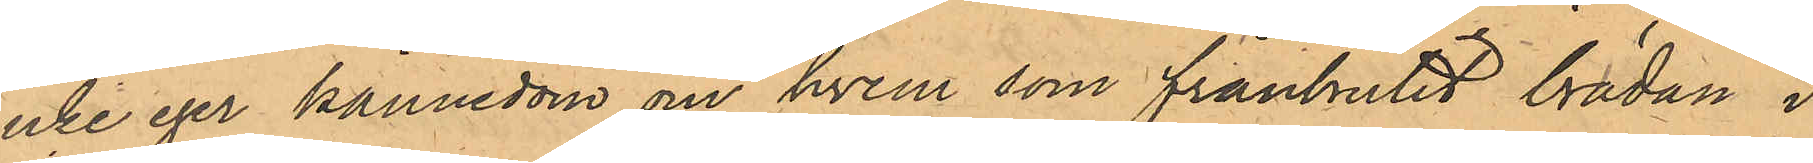icke eger kännedom om hvem som frånbrutit brädan i
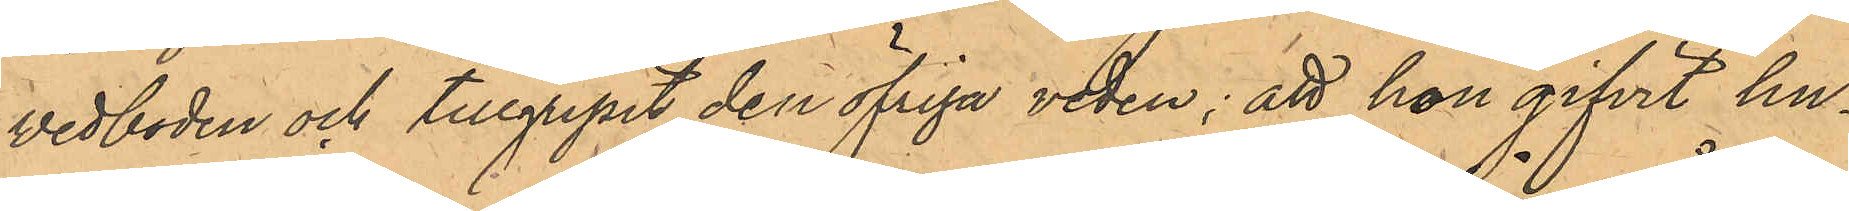vedboden och tillgripit den öfriga veden; att hon gifvit hu¬
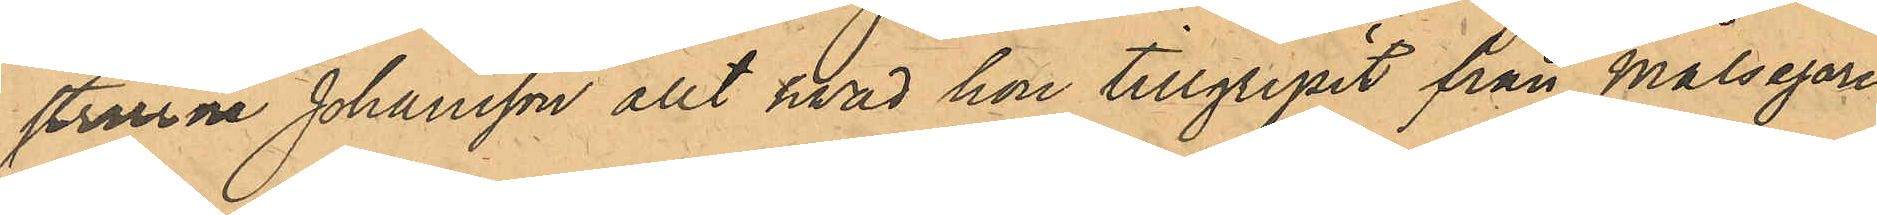strurna Johansson allt hvad hon tillgripit från Målegaren
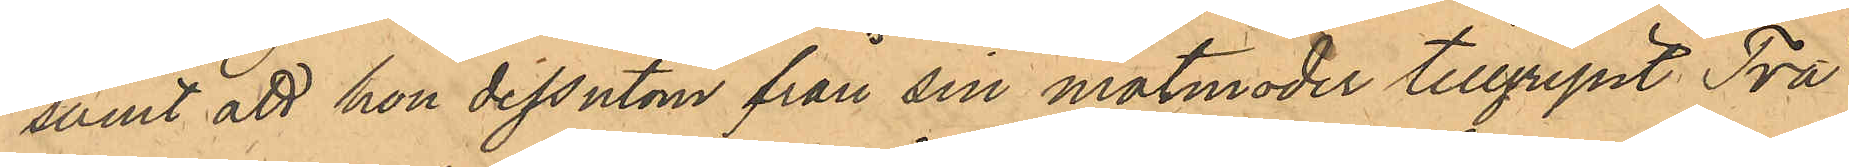samt att hon dessutom från sin Matmoder tillgripit Två
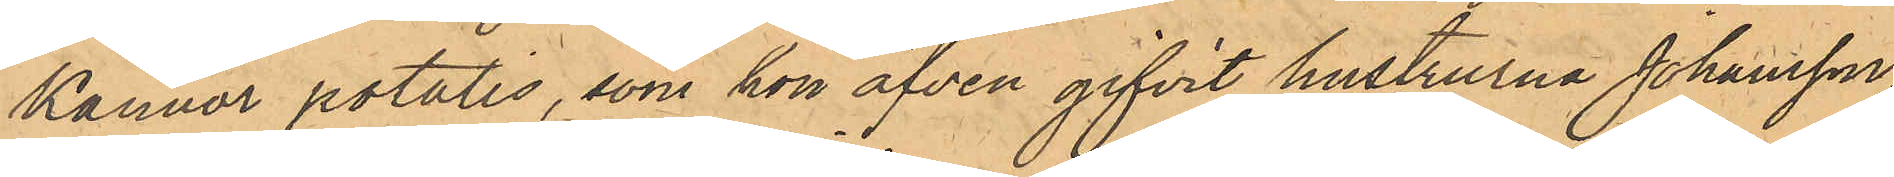Kannor potatis, som hon äfven gifvit hustrurna Johansson,
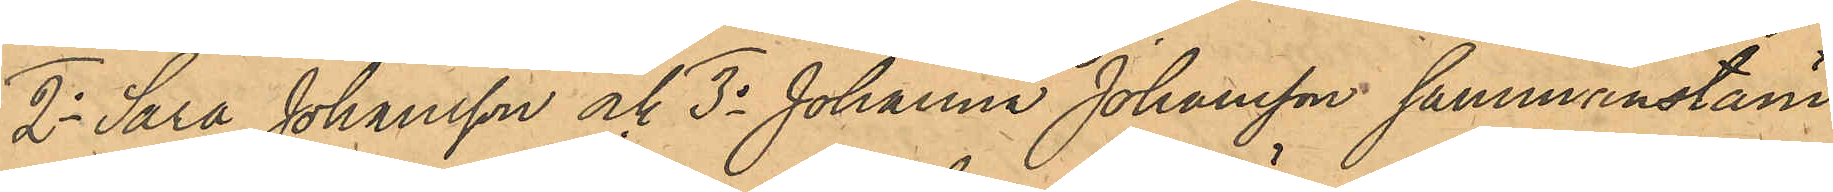2o Sara Johansson och 3o Johanna Johansson sammanstäm¬
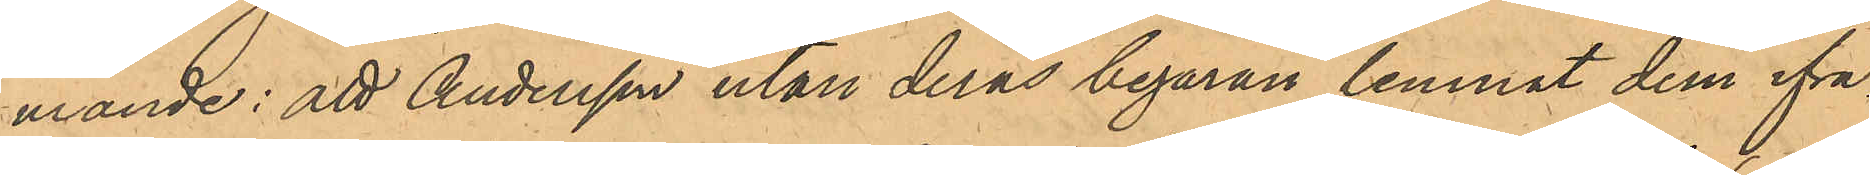mande: att Andersson utan deras begäran lemnat dem ifrå¬
